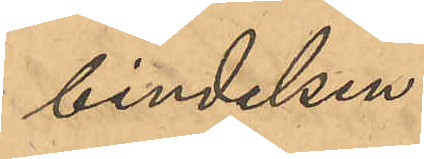bindelsen.
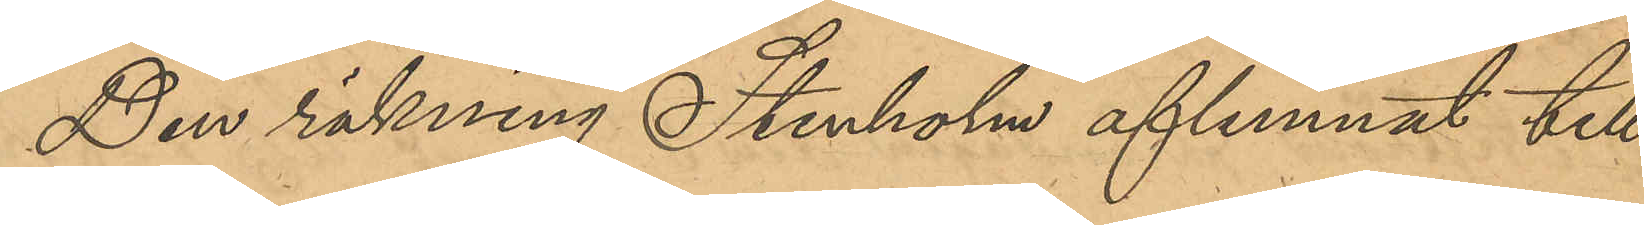Den räkning Stenholm aflemnat till
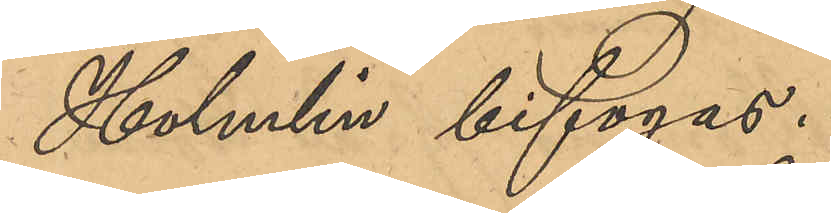Holmlin bifogas.
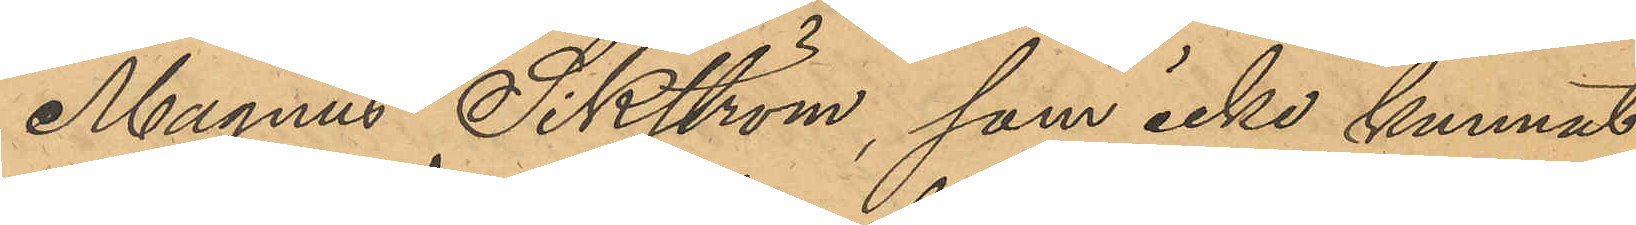Magnus Sikström, som icke kunnat
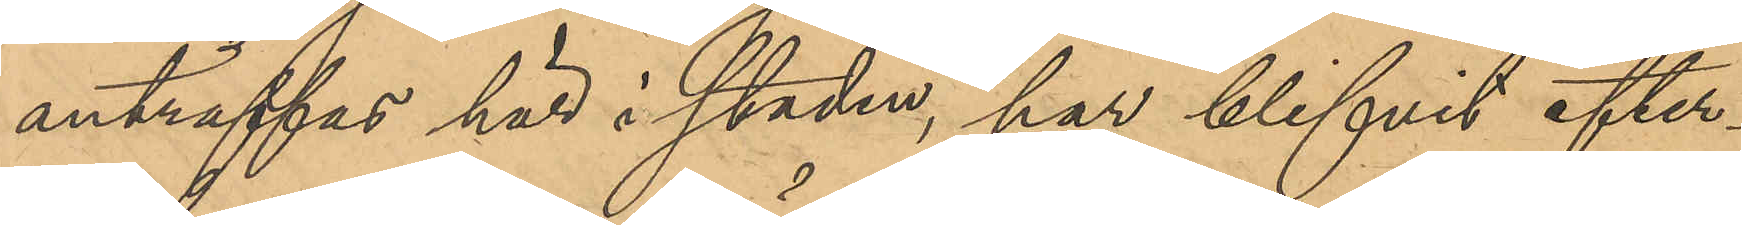anträffas här i staden, har blifvit efter¬
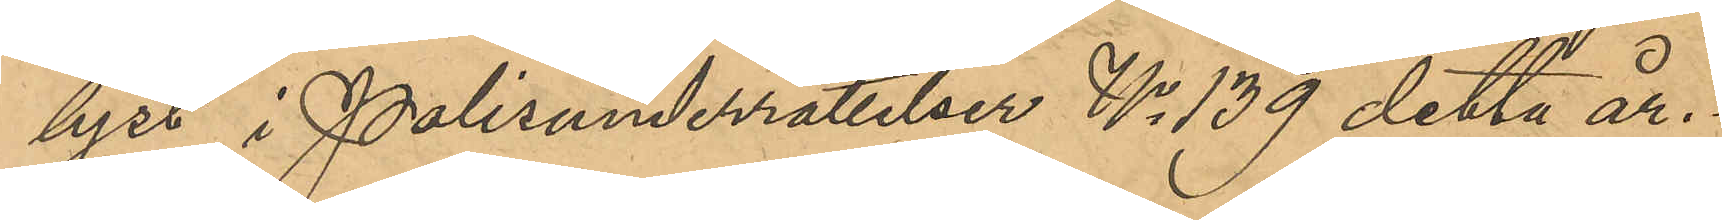lyst i Polisunderrättelser No 139 detta år.
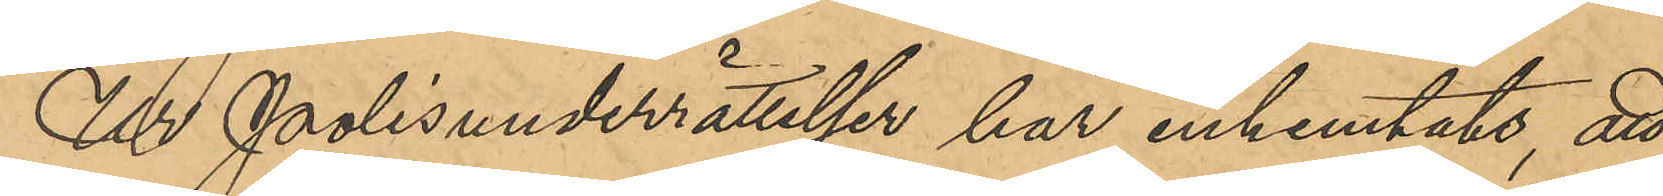Ur Polisunderrättelser har inhemtats, att
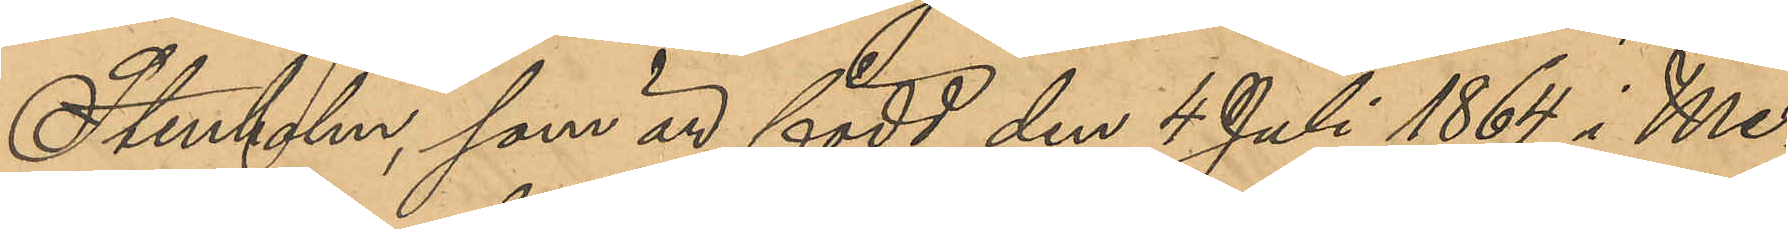Stenholm, som är född den 4 Juli 1864 i Me¬
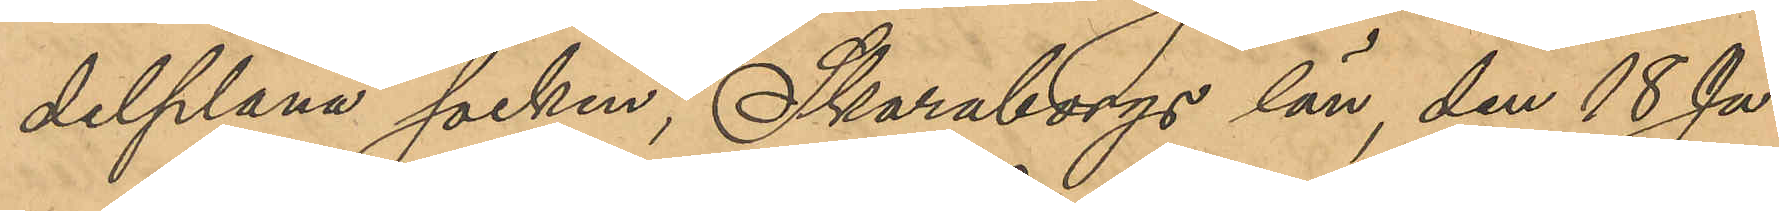delplana socken, Skaraborgs län, den 18 Ja¬
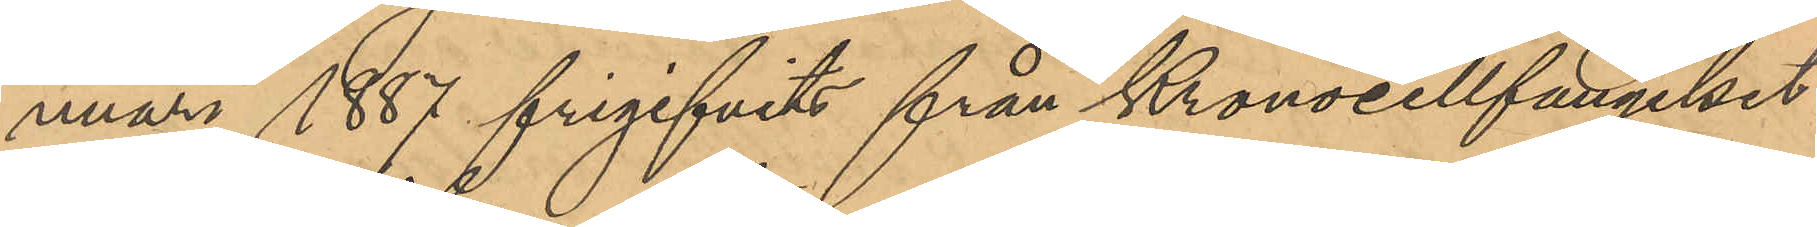nuari 1887 frigifvits från Kronocellfängelset
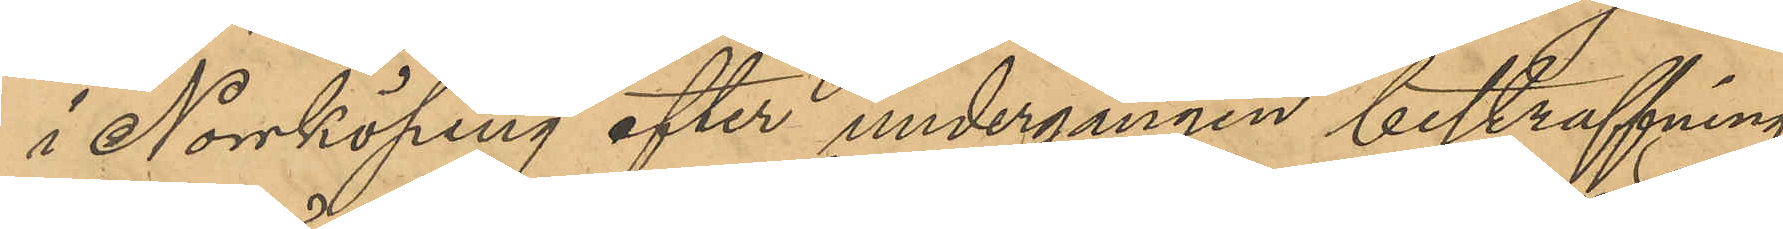i Norrköping efter undergången bestraffning
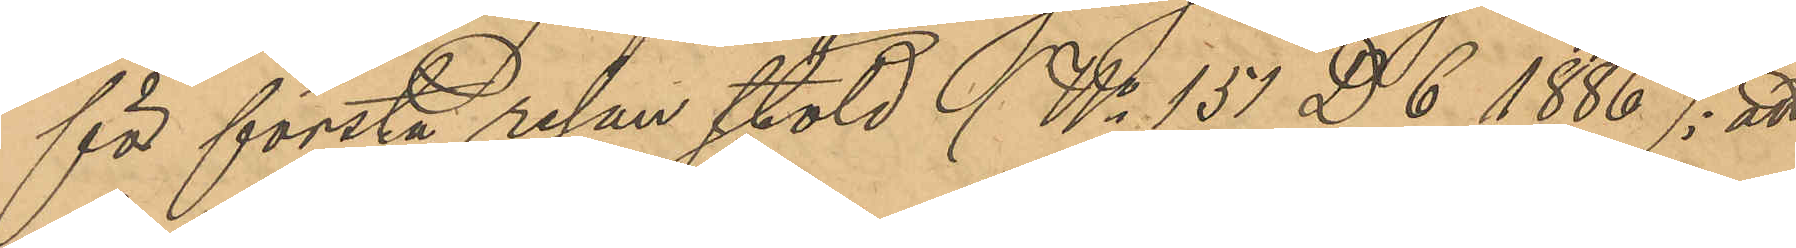för första resan stöld (No 151 D 6 1886); att
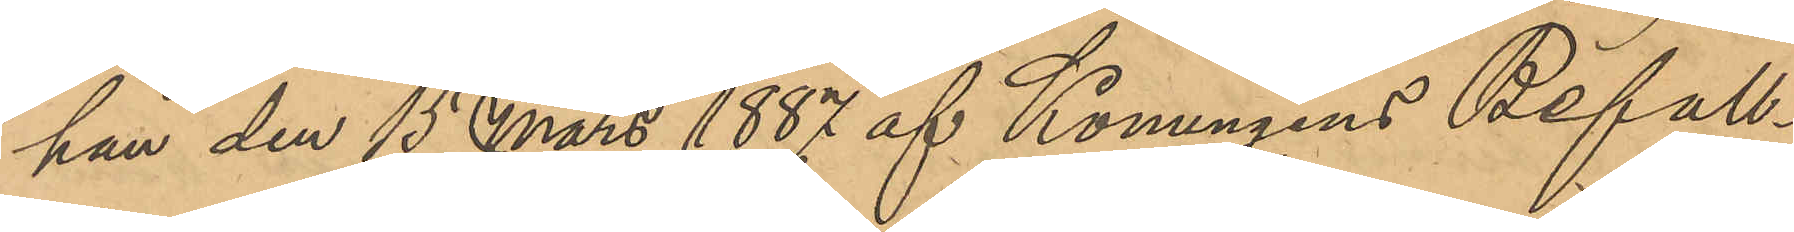han den 15 Mars 1887 af Konungens Befall¬
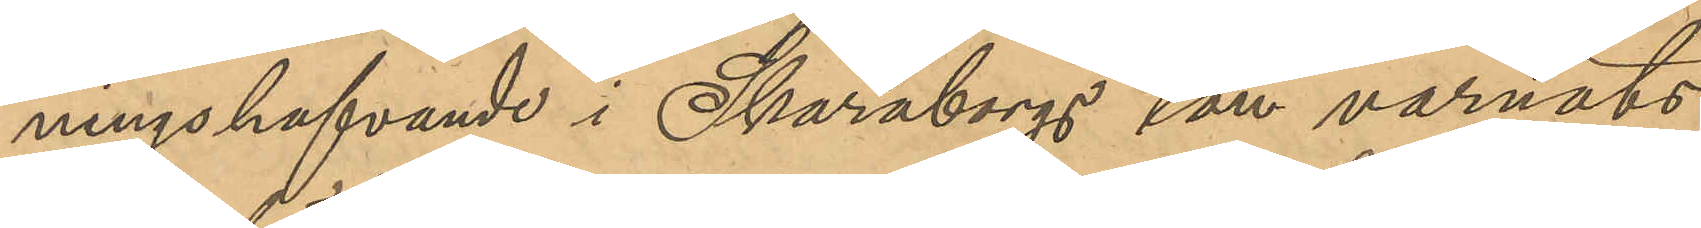ningshafvande i Skaraborgs län varnats
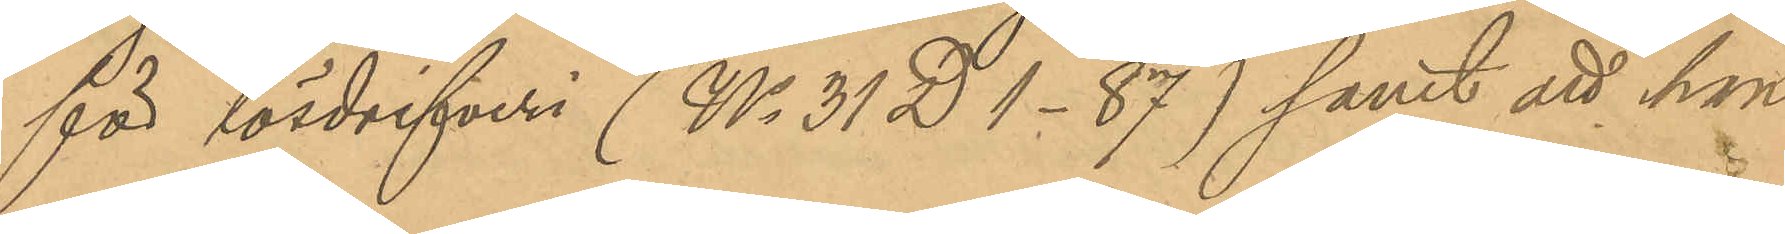för lösdrifveri (No 31 D 1 - 87) samt att han
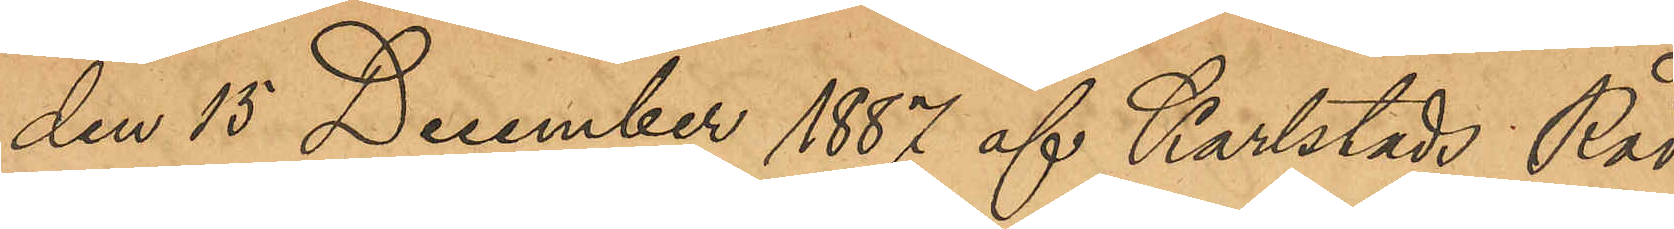den 15 December 1887 af Karlstads Råd¬
